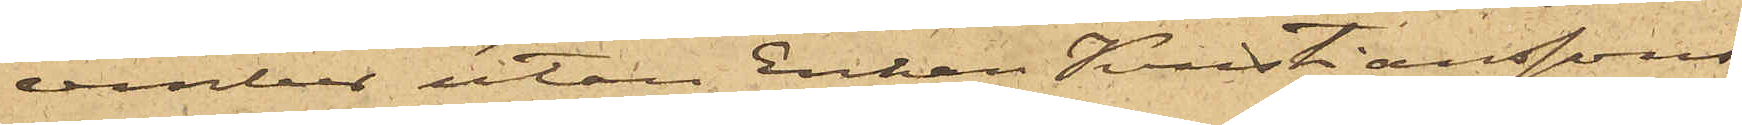cember utan Enkan Kristianssons
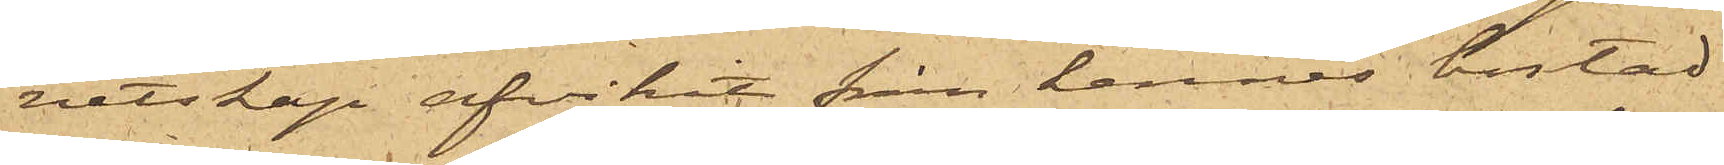vetskap afvikit från hennes bostad
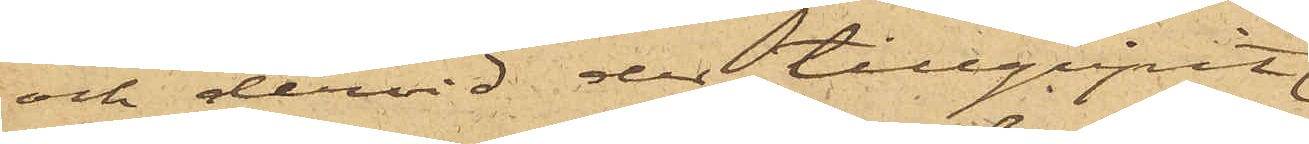och dervid der tillgripit
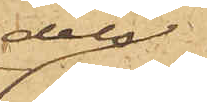dels
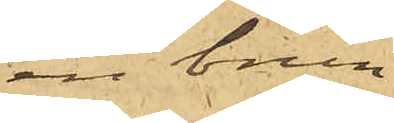en brun
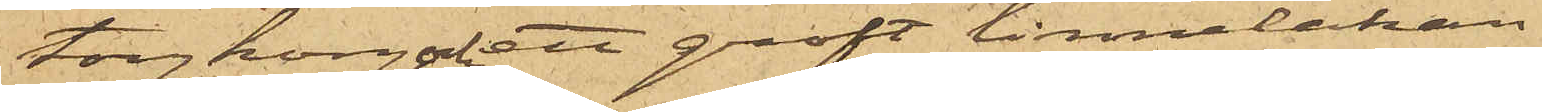torgkorg och ett groft linnelakan,
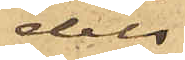dels
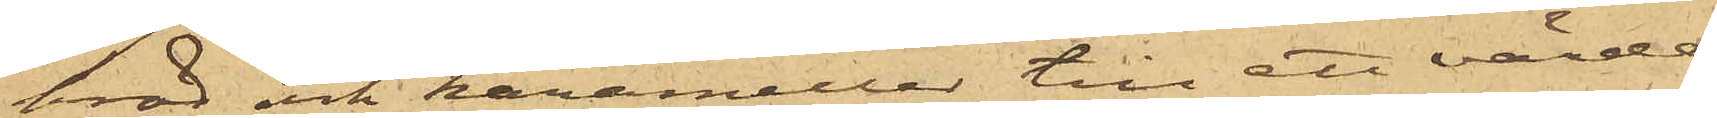bröd och karameller till ett värde
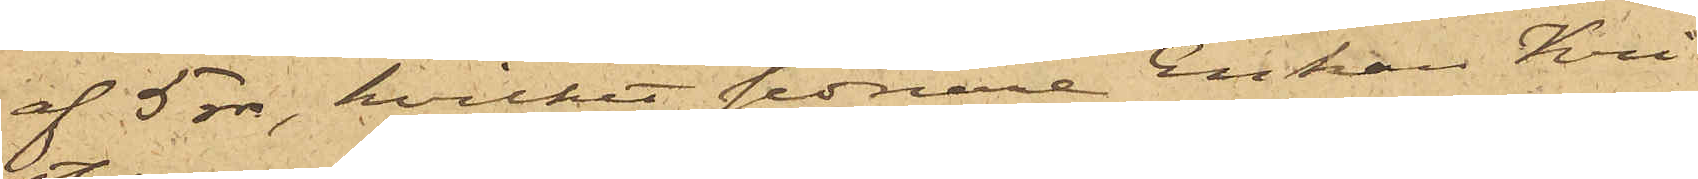af 5 rdr, hvilket sednare Enkan Kri¬
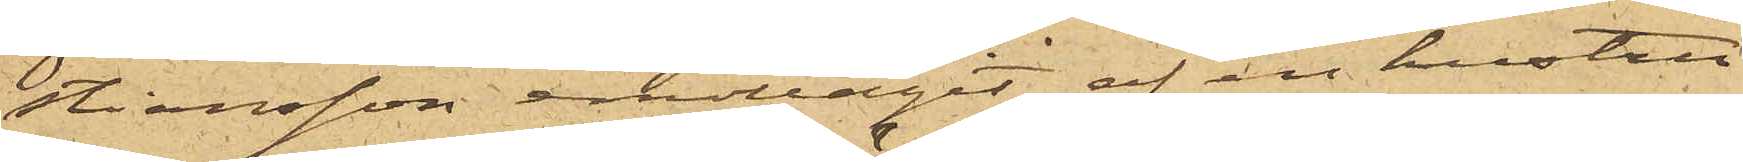stiansson emottagit af en hustru
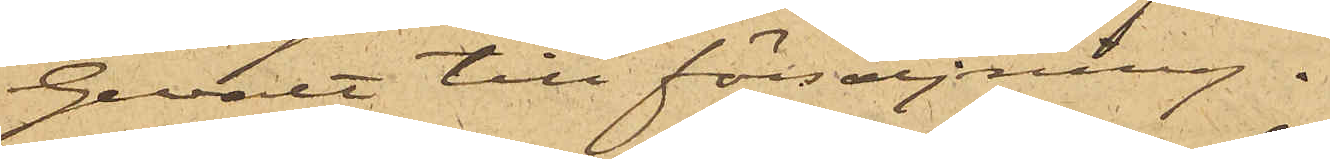Gevalt till försäljning.
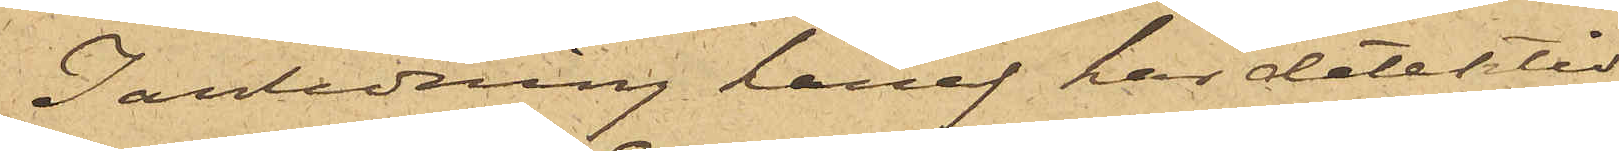I anledning häraf har detektiv¬
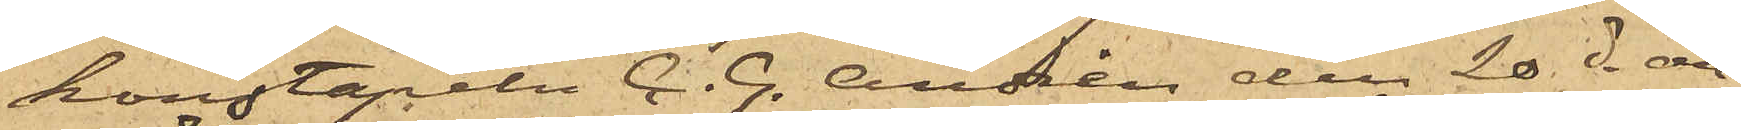konstapeln C. G. Andrén den 20 ds an¬
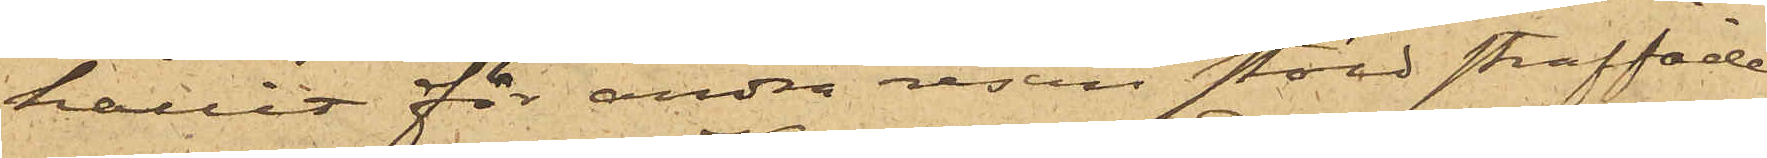hållit för andra resan stöld straffade
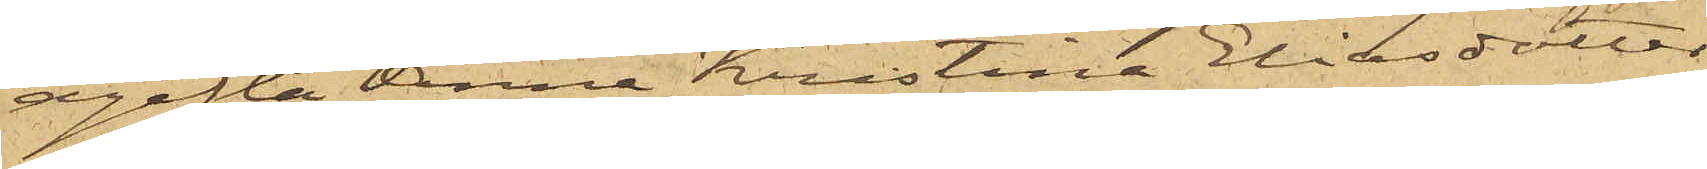ogifta Anna Kristina Eliasdotter
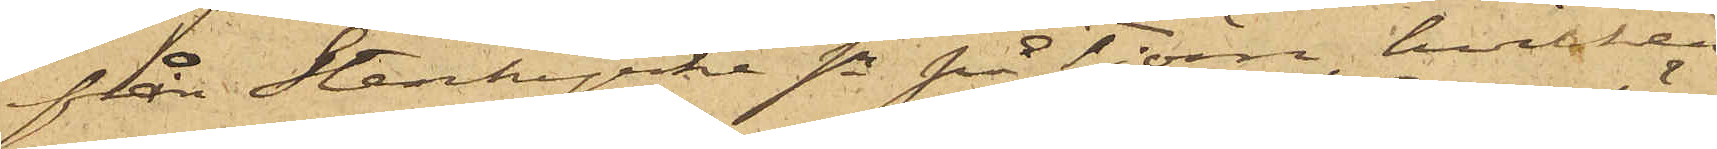från Stenkyrke sn på Tjöm, hvilken
